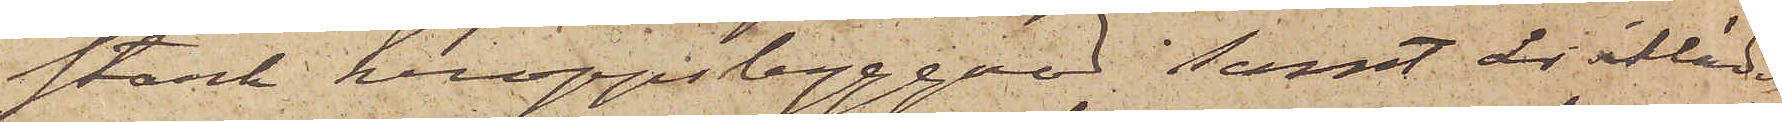stark kroppsbyggad samt är iklädd
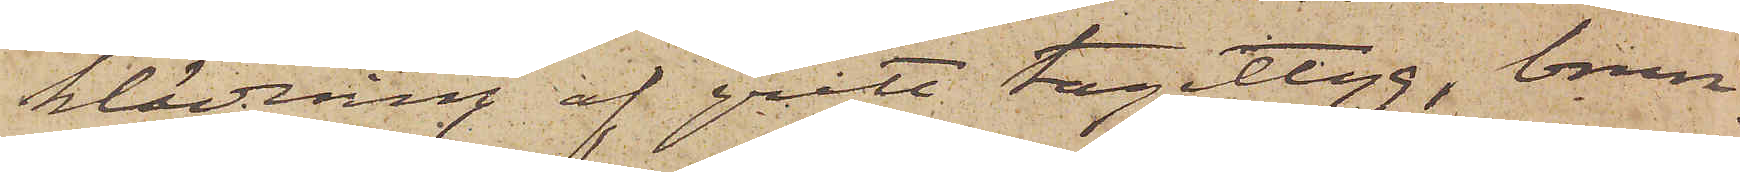klädning af grått tageltyg, brun
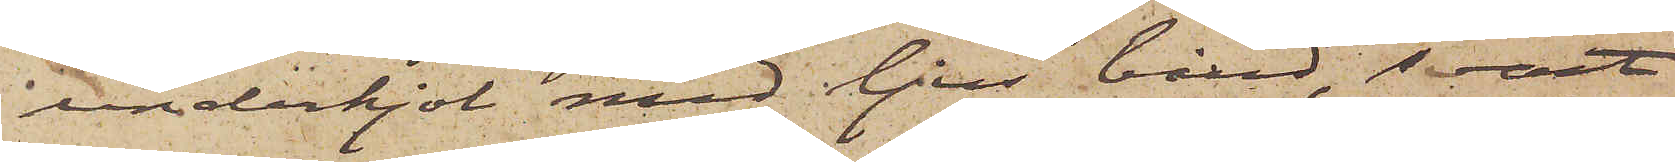underkjol med ljus bård, svart
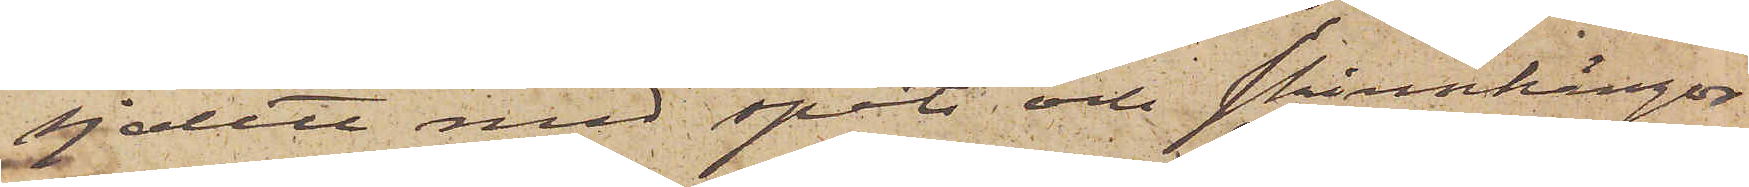sjalett med spets och skinnkängor
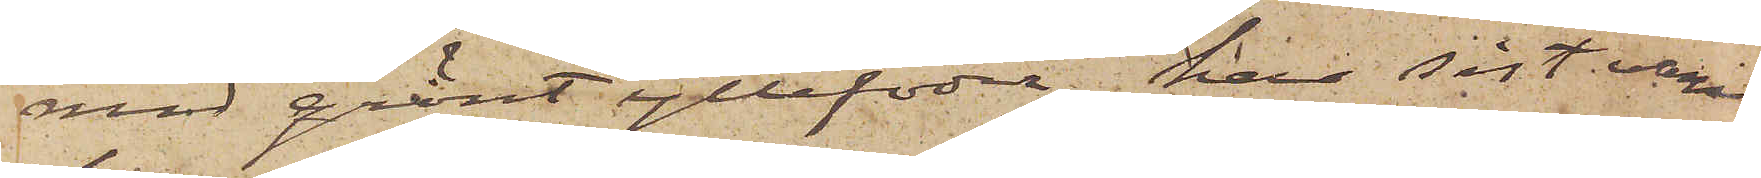med grönt yllefoder, har sist varit
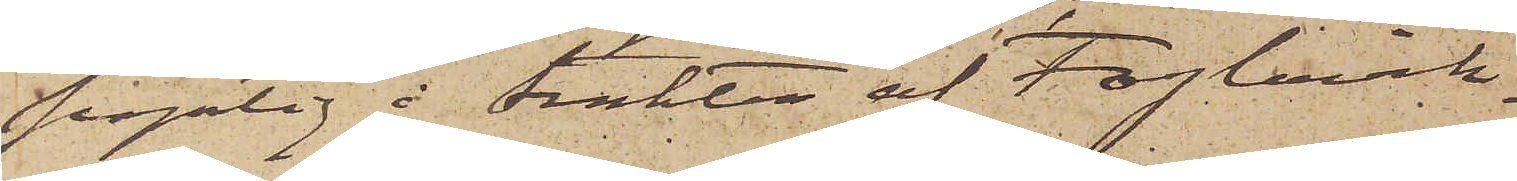synlig i trakten af Foglavik.
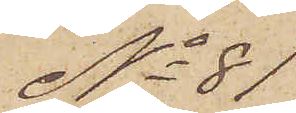No 81
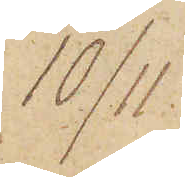10/11
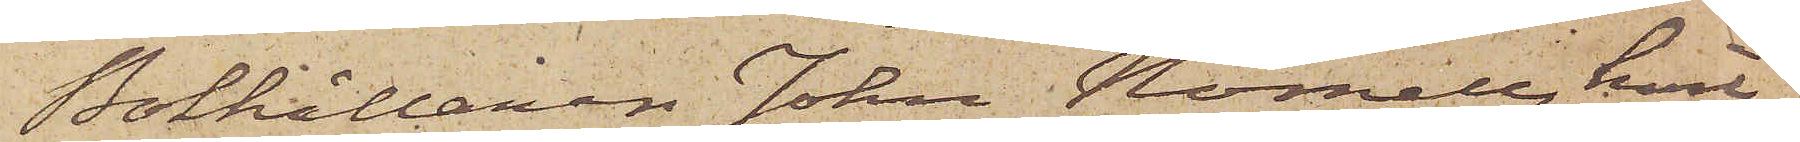Bokhållaren Johan Nornell, hvil¬
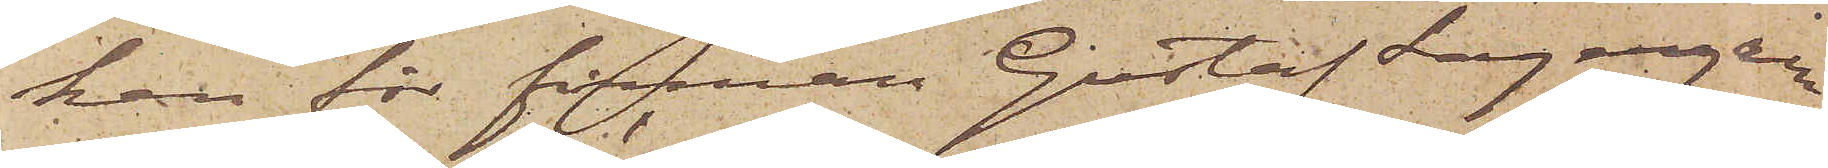ken för firman Gustaf Lagergren
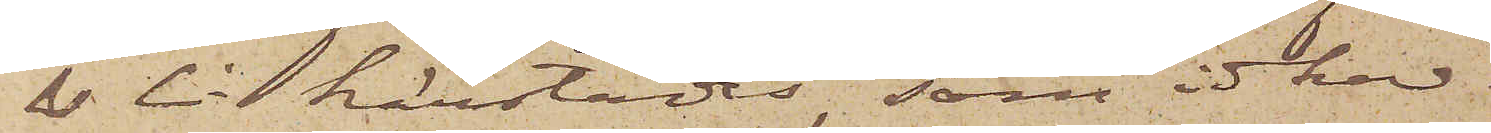& Ci härstädes, som idkar
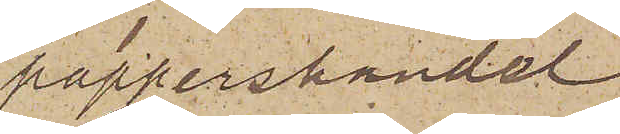pappershandel
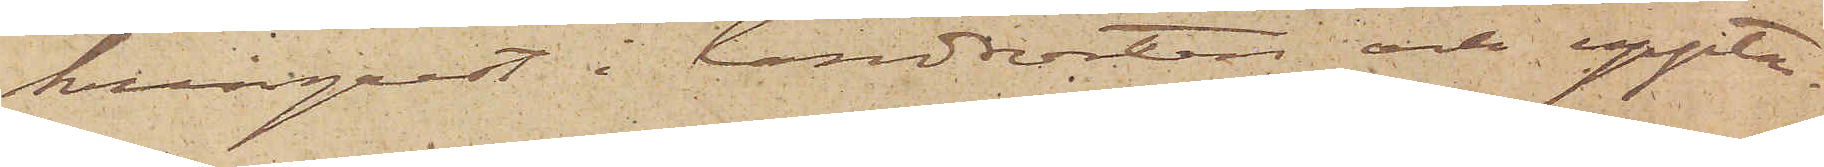kringrest i landsorten och uppta¬
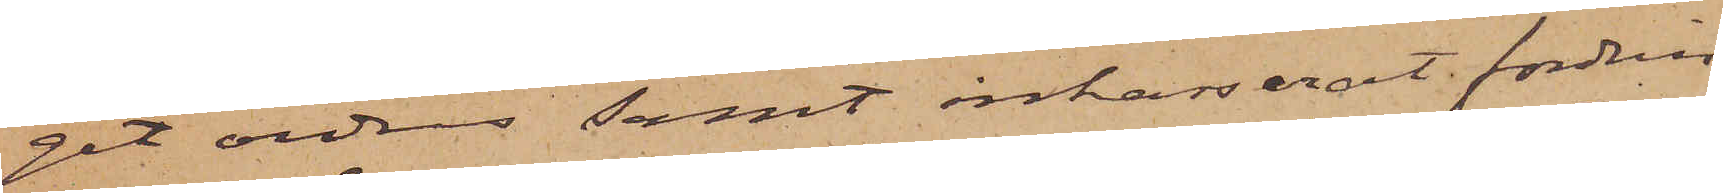git ordres samt inkasserat fordrin¬
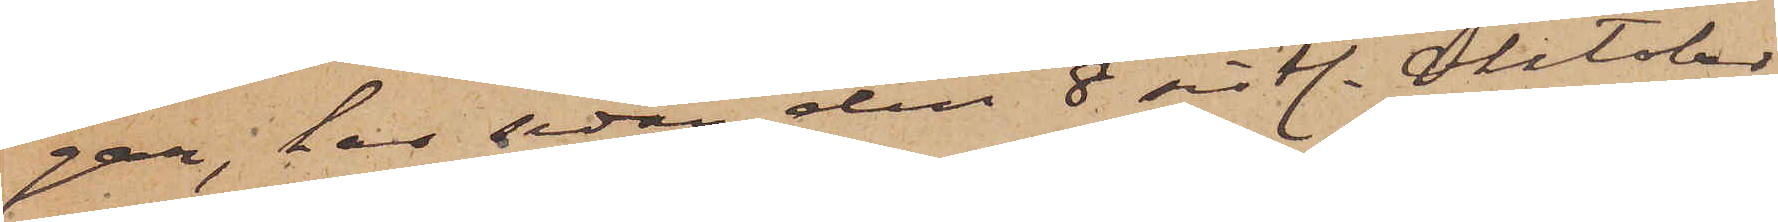gar, har sedan den 8 sistl. Oktober
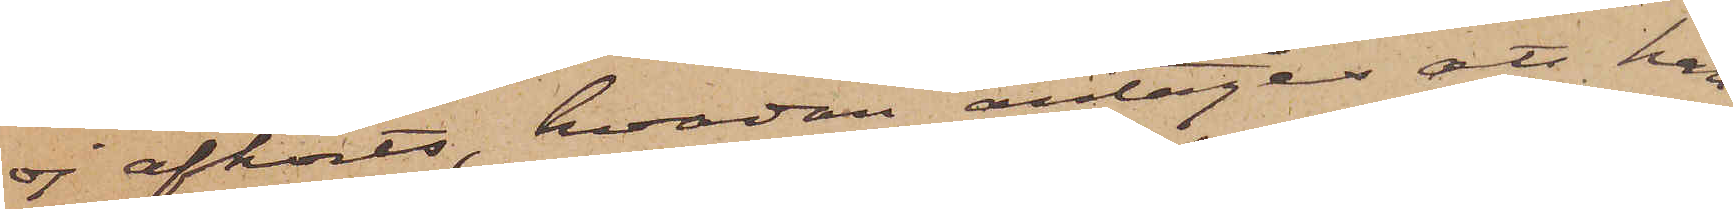ej afhörts, hvadan antages att han
